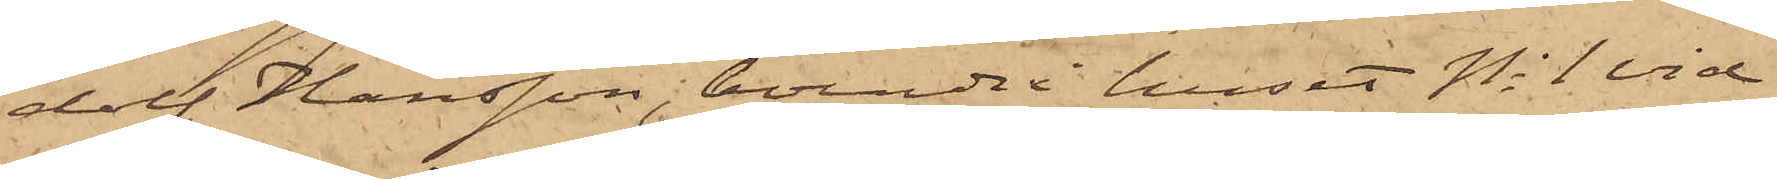dolf Hansson, boende i huset No 1 vid
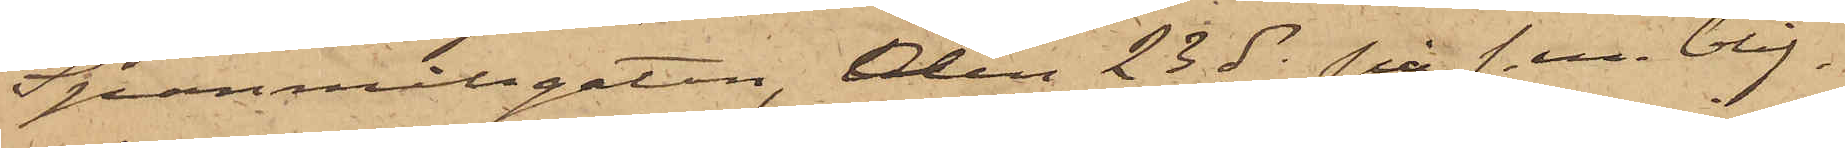Spanmålsgatan, den 23 ds på f. m. blif¬
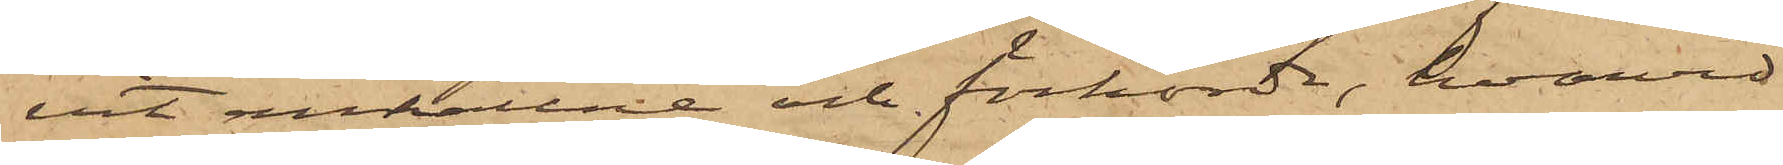vit anhållne och förhörda, hvarvid
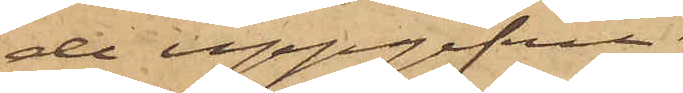de uppgifvit:
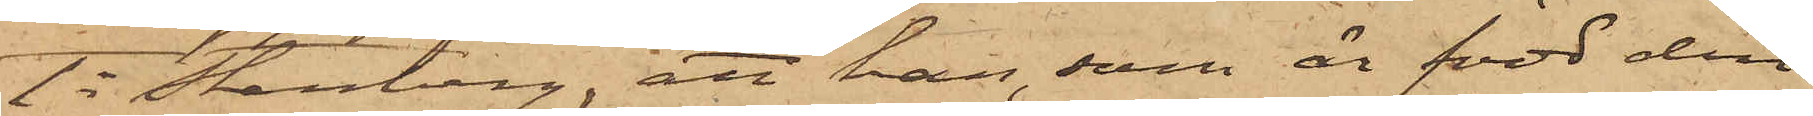1o Stenberg, att han, som är född den
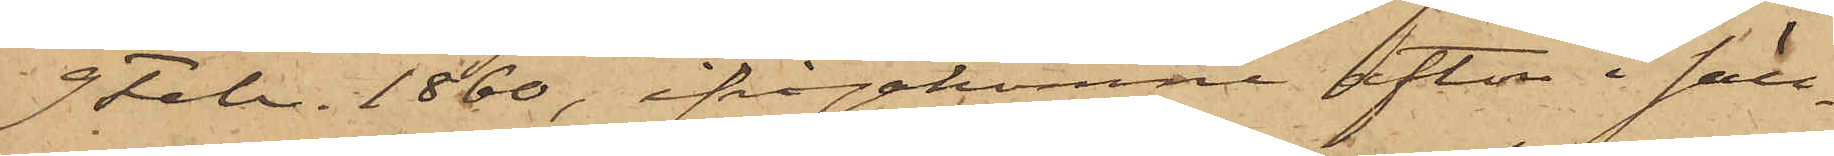9 Febr. 1860, ifrågakomne afton i säll¬
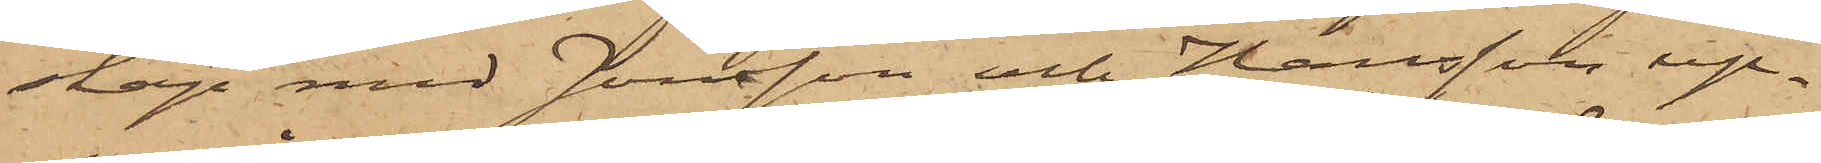skap med Jonsson och Hansson up¬
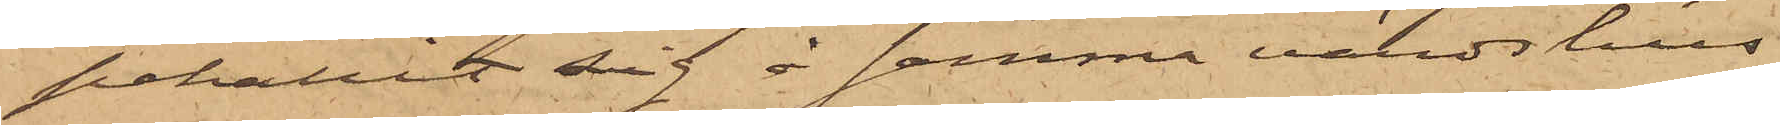pehållit sig å samma värdshus
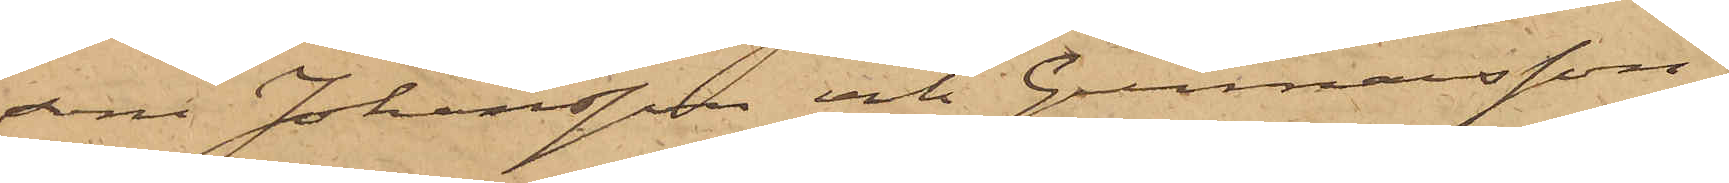som Johansson och Gunnarsson,
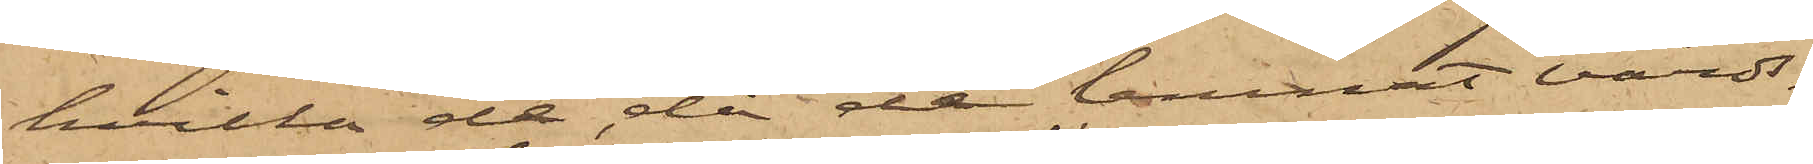hvilka de, då de lemnat värds¬
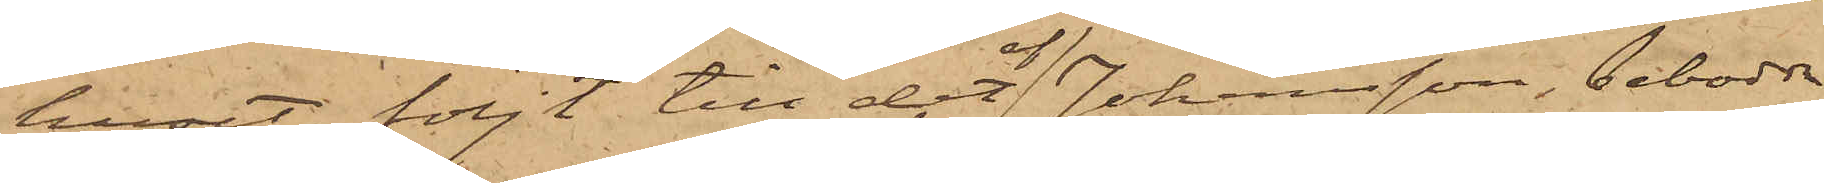huset, följt till det af Johansson, bebodda
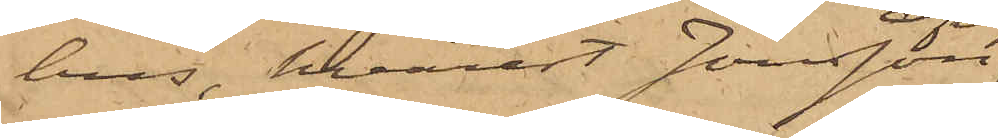hus, hvarest Jonsson
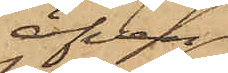äfven
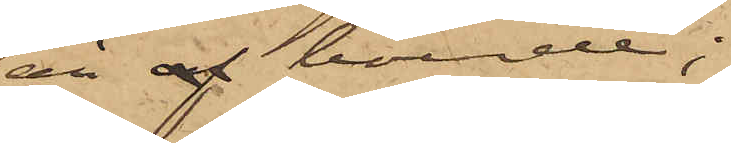är af boende;
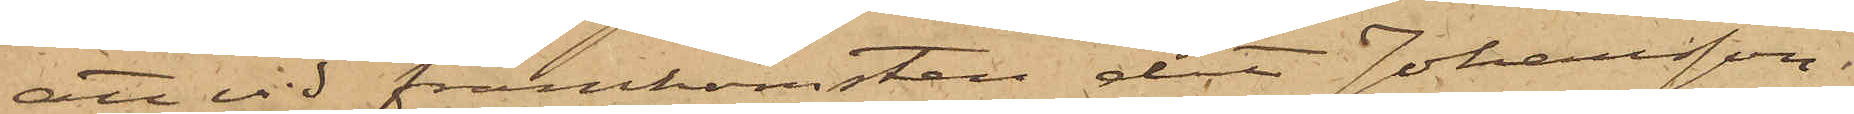att vid framkomsten, dit Johansson
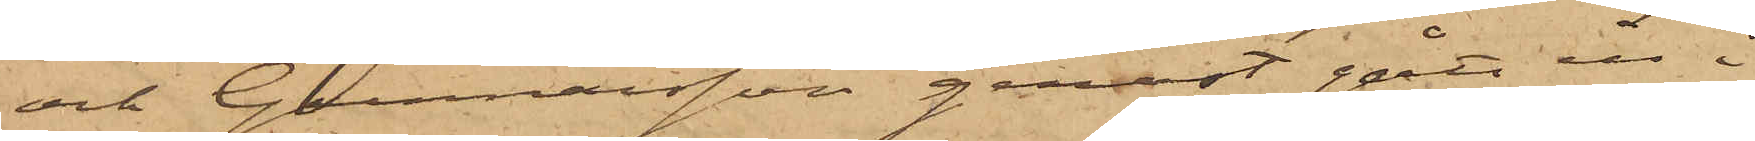och Gunnarsson genast gått in i
